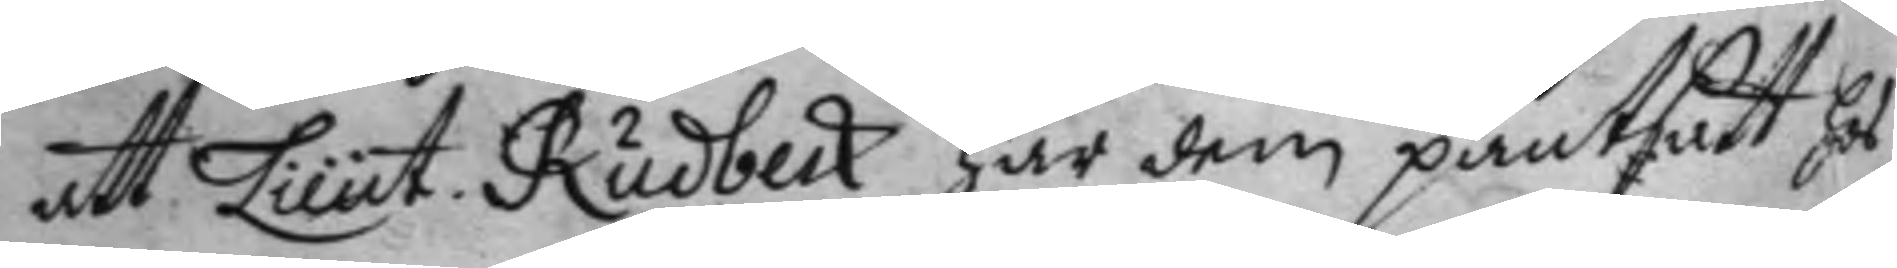att Lieut. Rudbeck har dem pantsatt hos
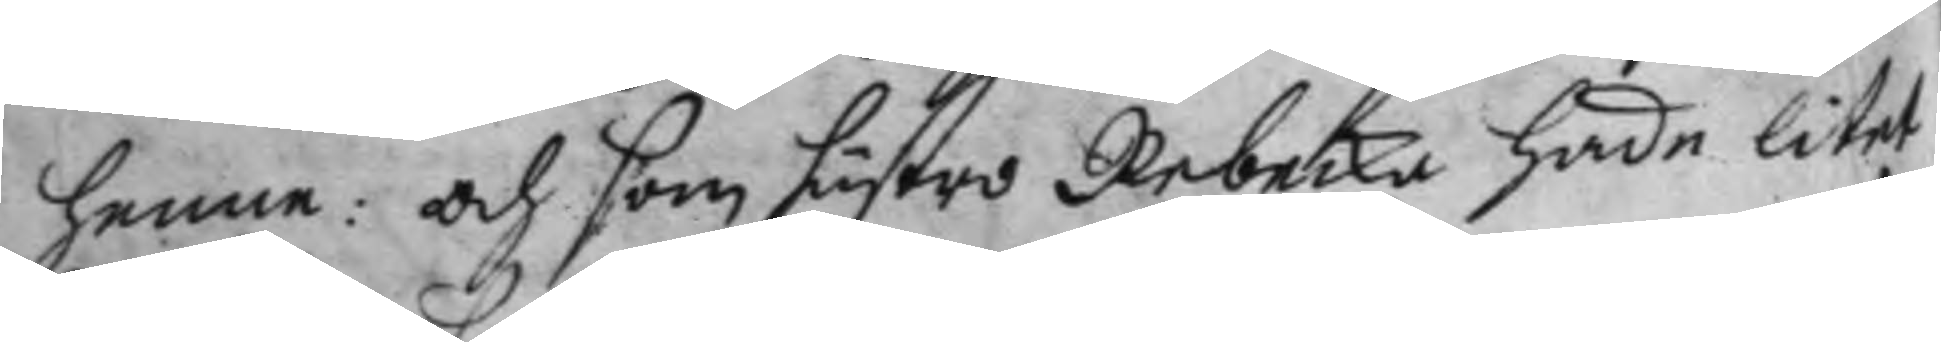henne: och som hustro Rebecka hade litet
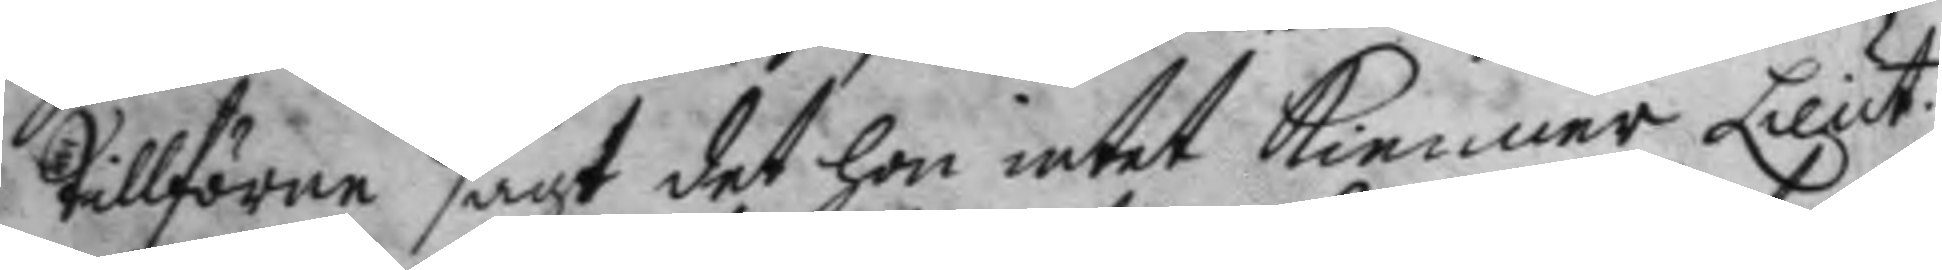tillförne sagt det hon intet Kienner Lieut.
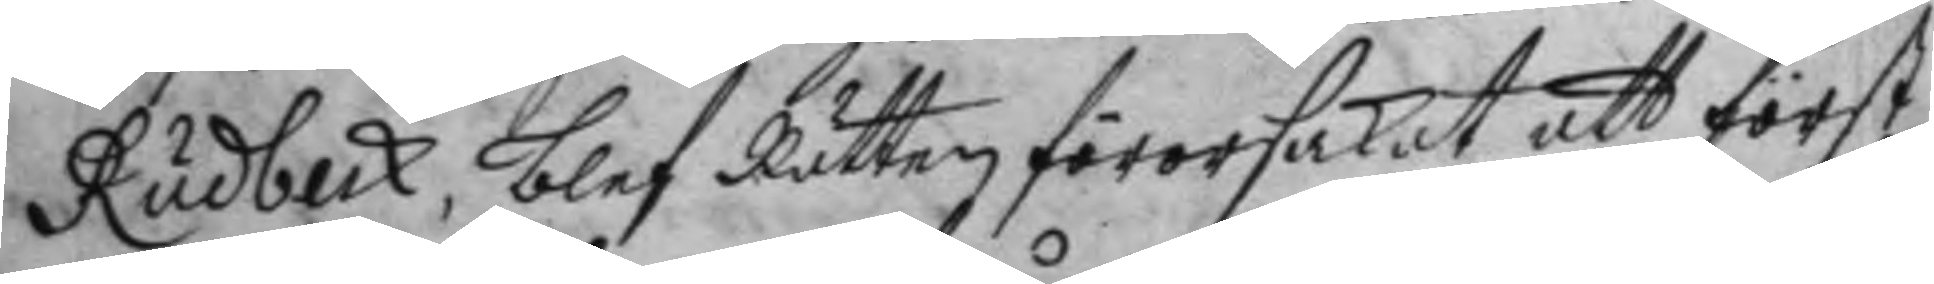Rudbeck, blef Rätten förorsakat att först
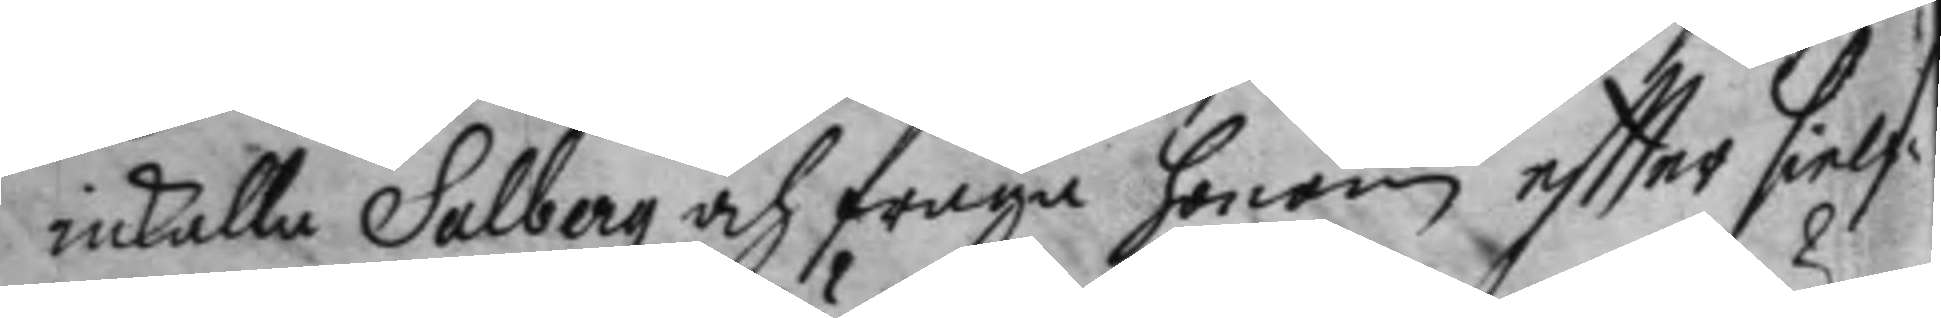inkalla Salberg och fråga honom eftter sielf¬
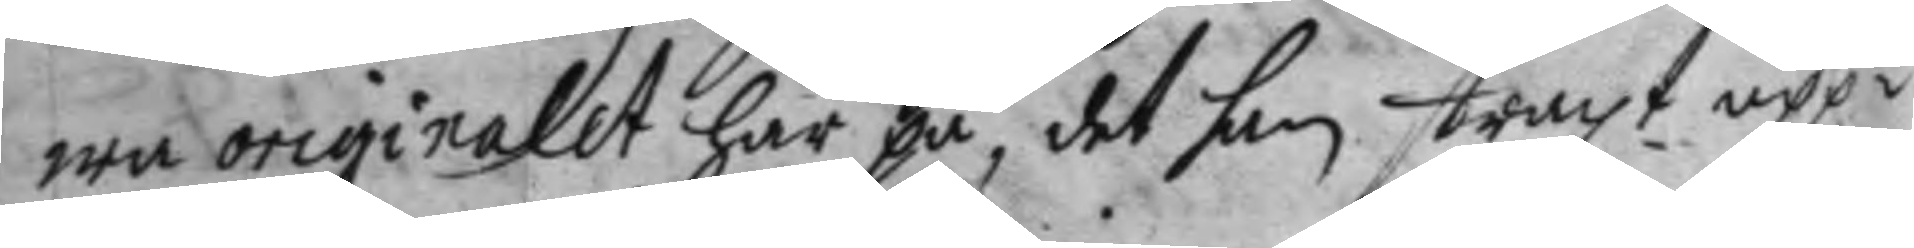wa originalet har på, det han straxt upp¬
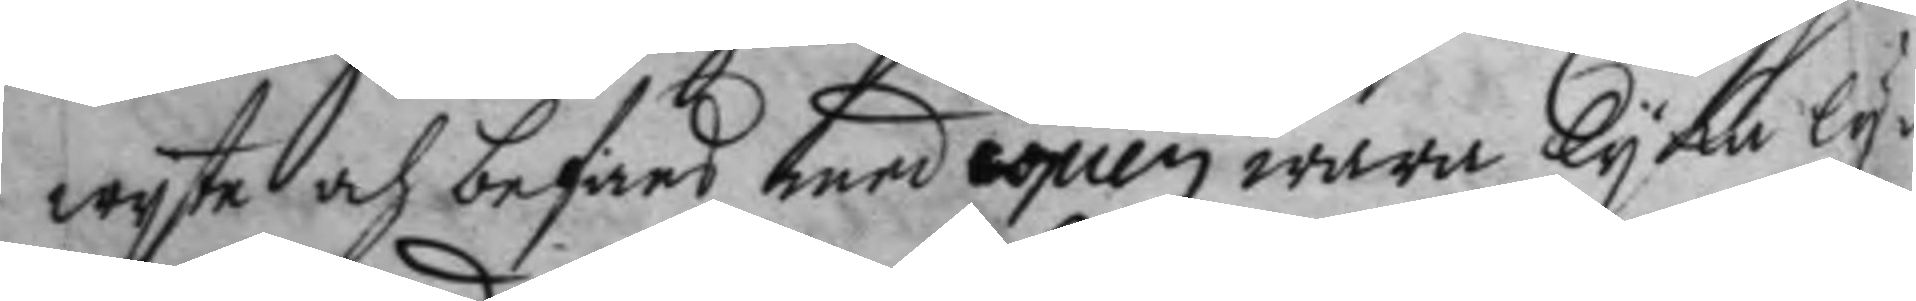wyste och befans med copien wara lyka ly¬
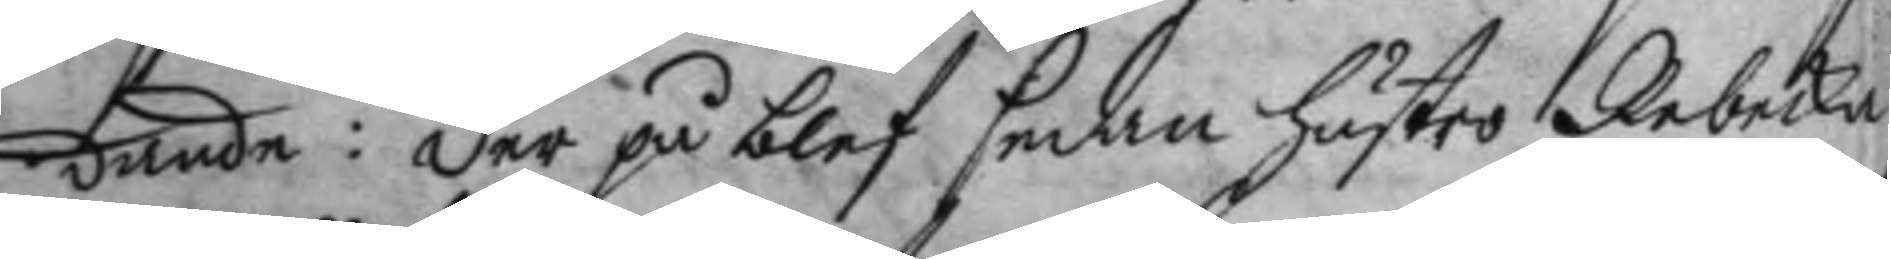dande: der på blef sedan hustro Rebecka
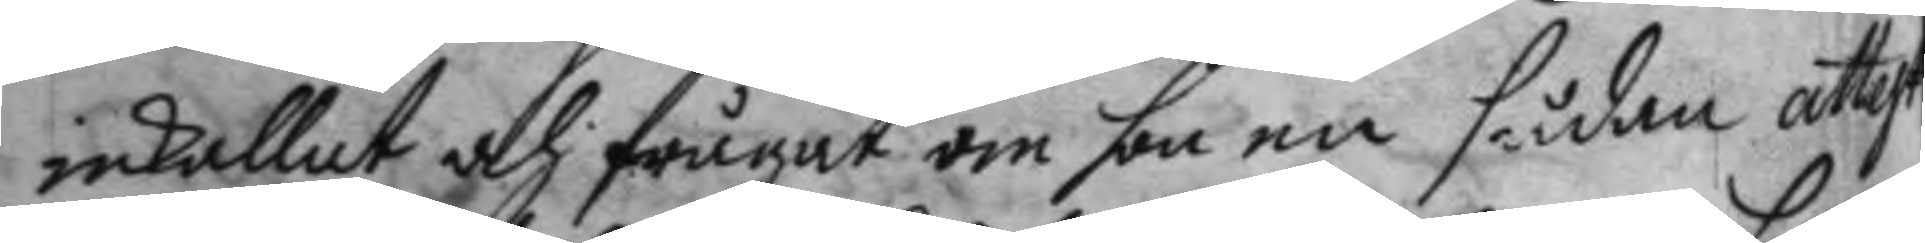inkallat, och frågat om hon en sådan attest
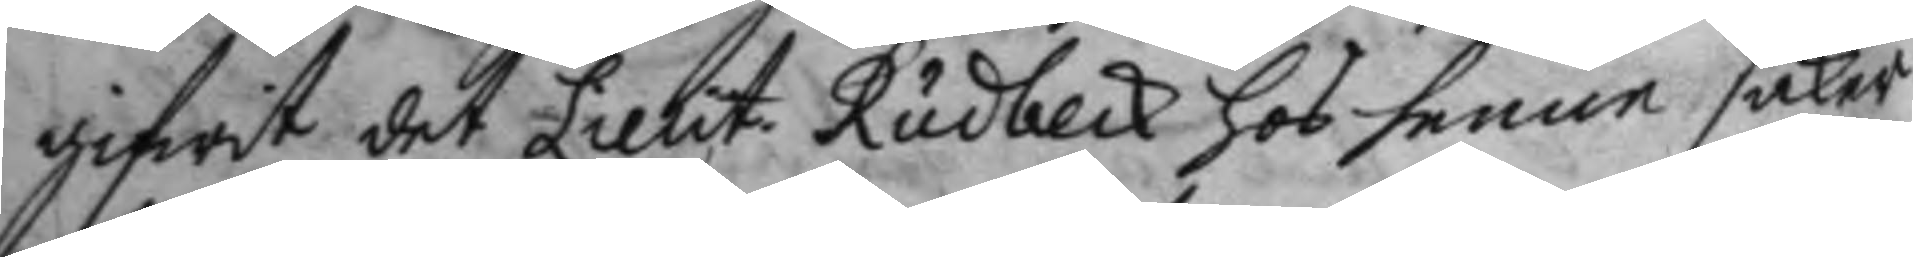gifwit det Lieut. Rudbeck hos henne, saker
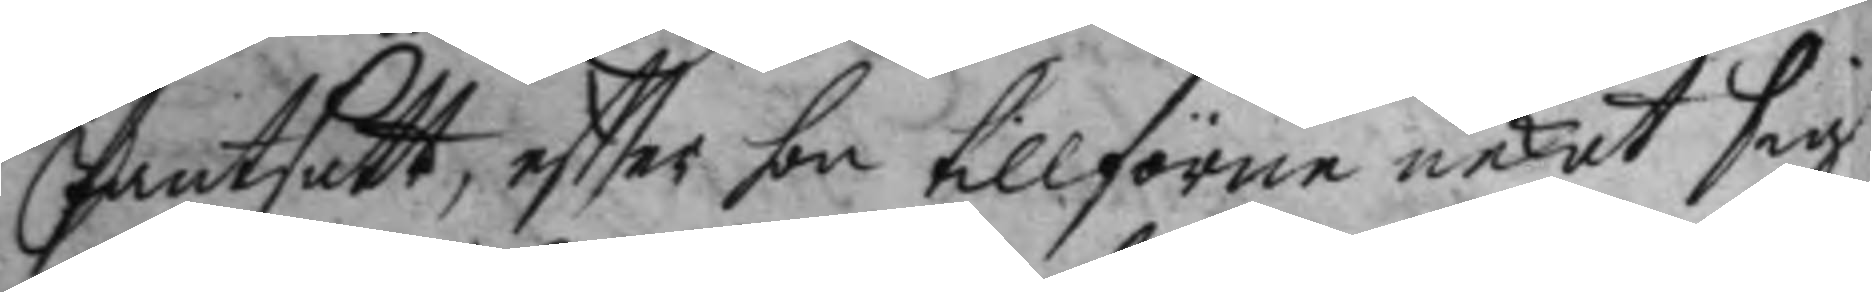Pantsatt, effter hon tillförne nekat sig
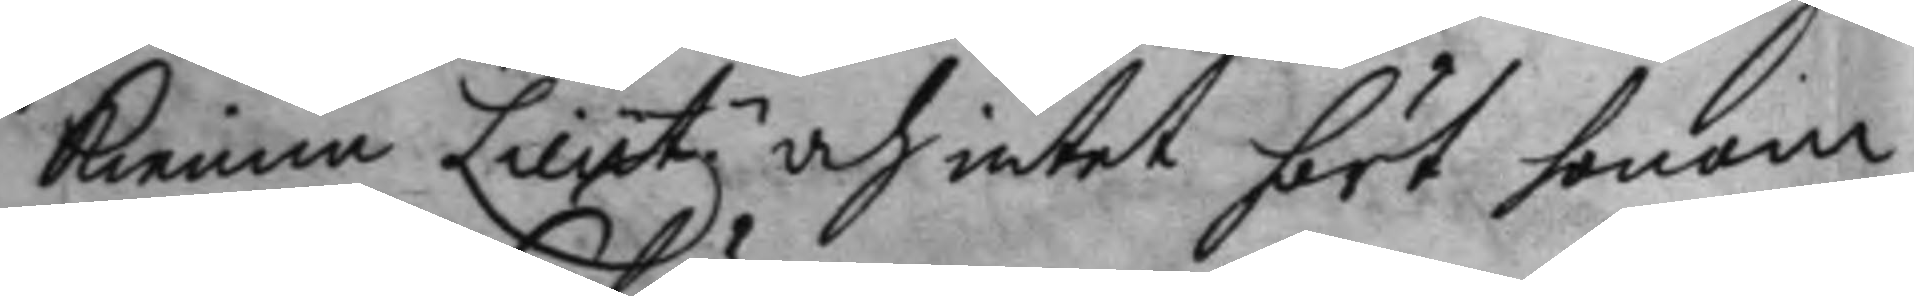kienna Lieutz.n och intet hört honom
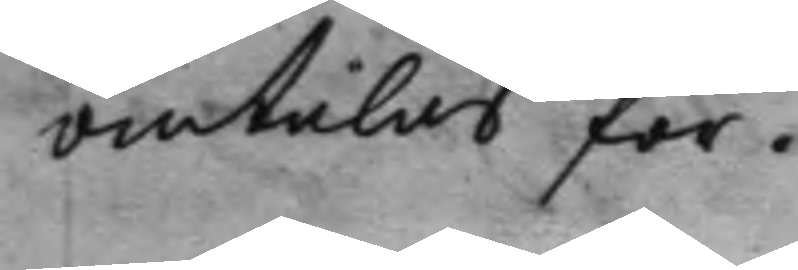omtalas för.
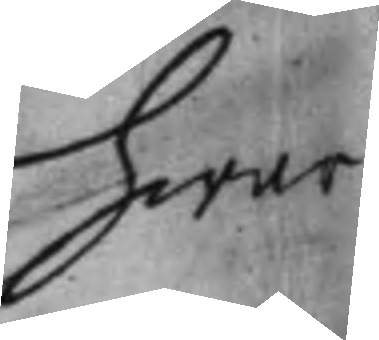hwar
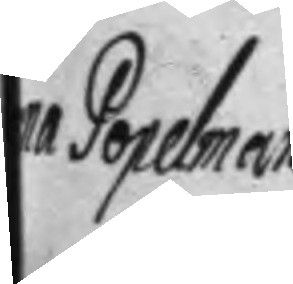na Popelman
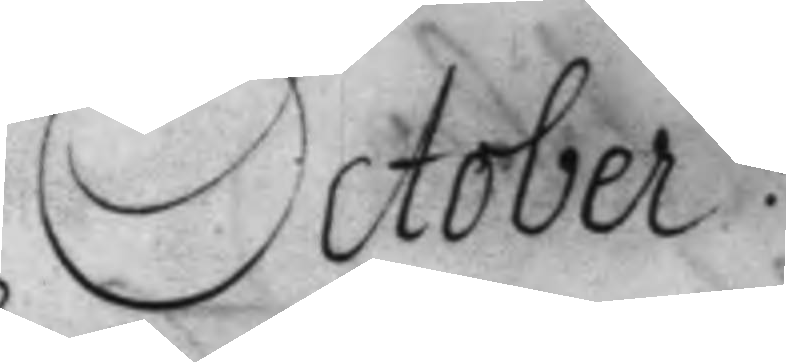October.
